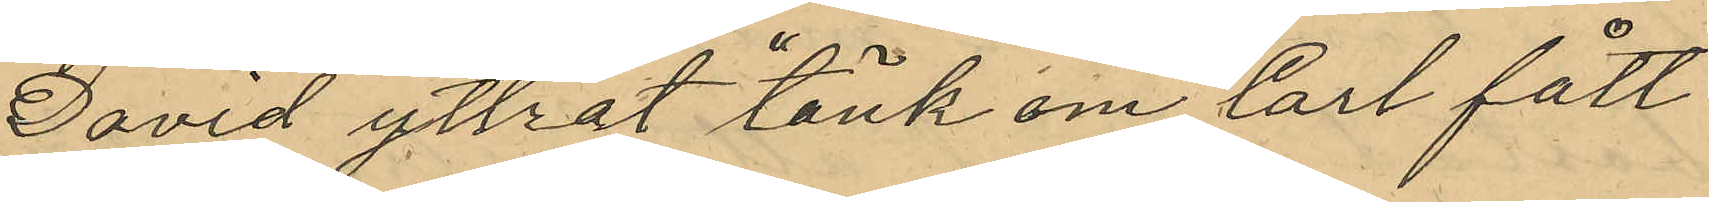David yttrat "tänk om karl fått
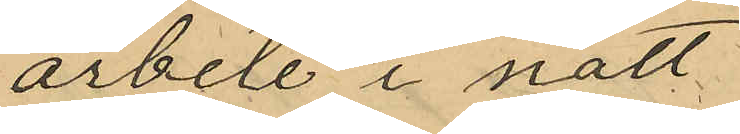arbete i natt"
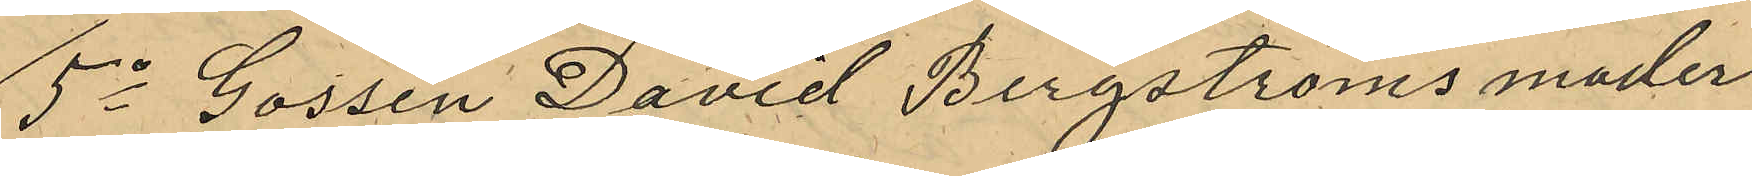5o Gossen David Bergströms moder
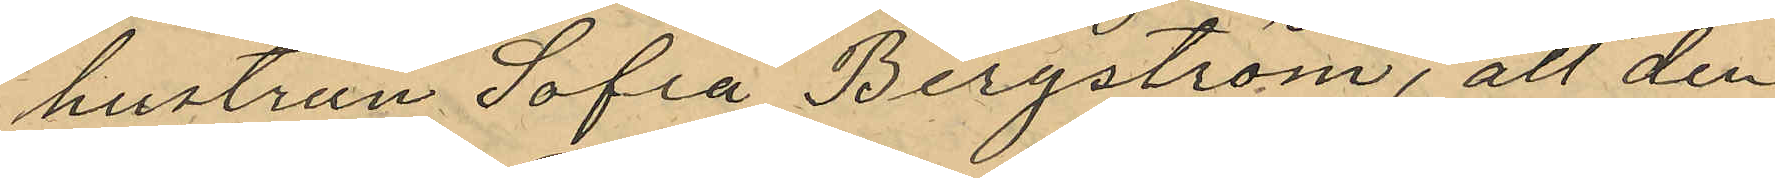hustrun Sofia Bergström, att den
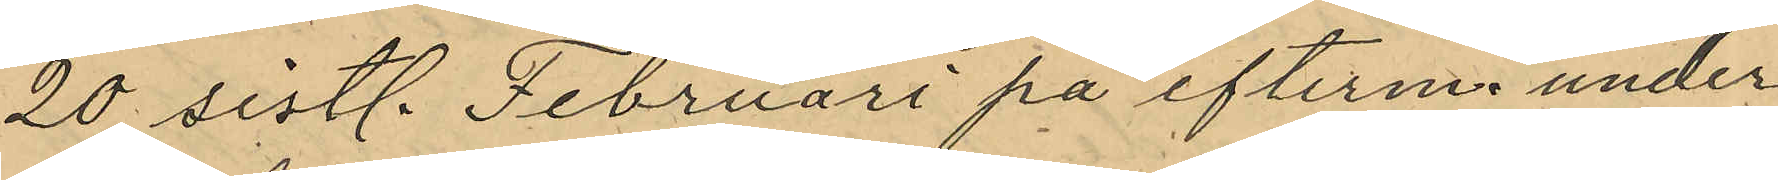20 sistl. Februari på efterm. under
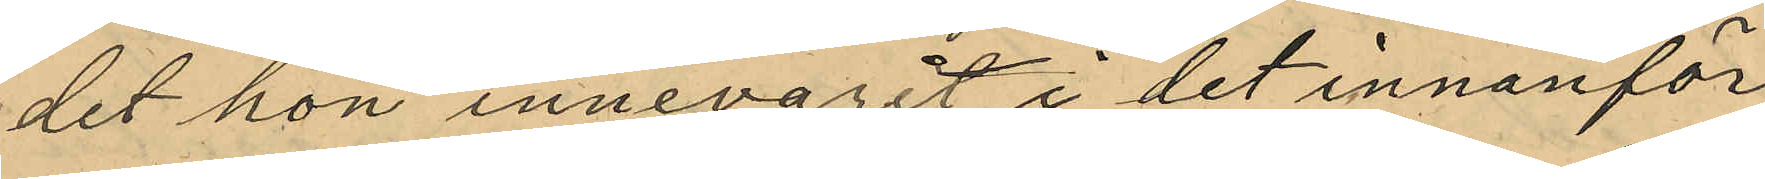det hon innevarit i det innanför
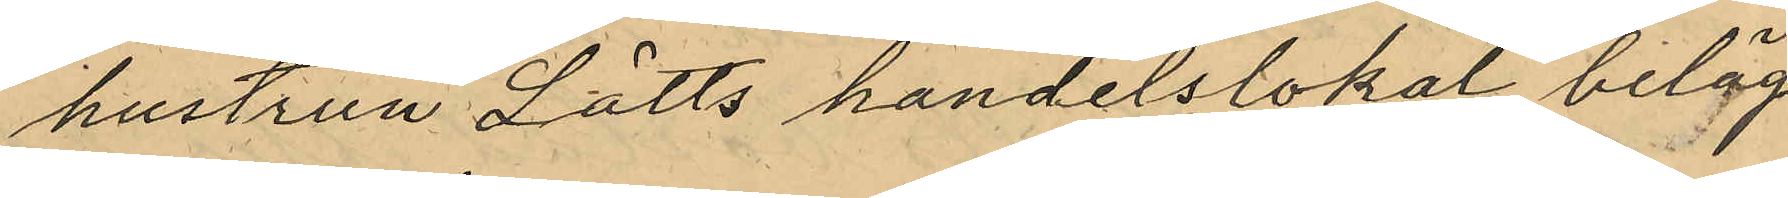hustrun Lätts handelslokal beläg¬
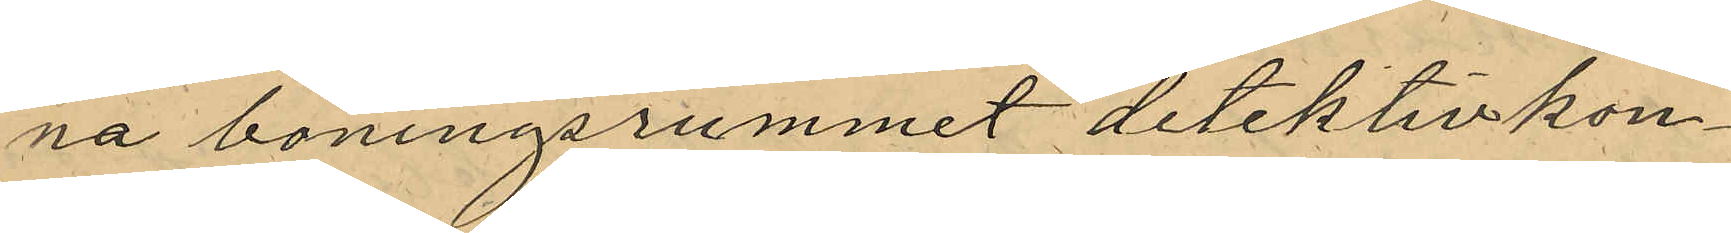na boningsrummet detektivkon¬
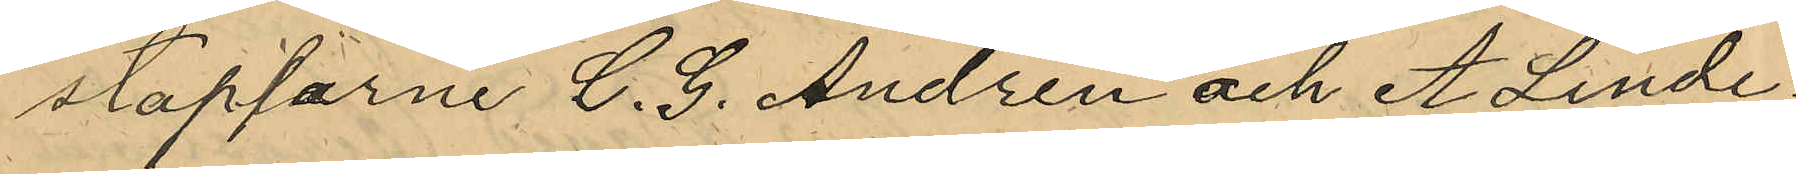staplarne C. G. Andrén och A. Linde¬
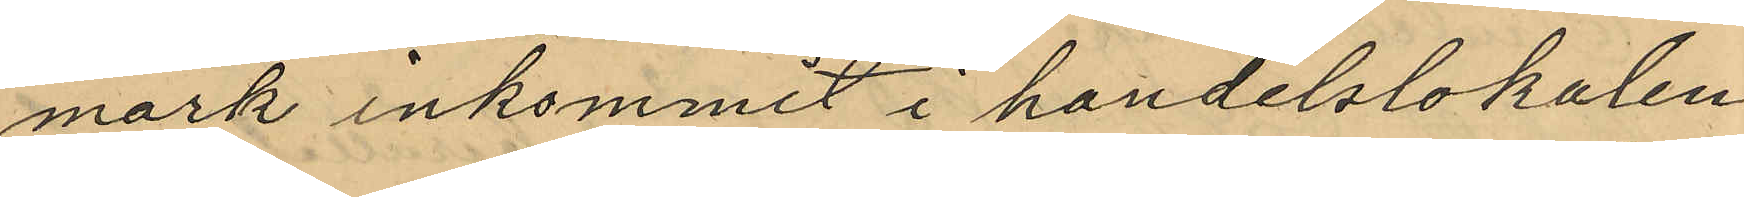mark inkommit i handelslokalen
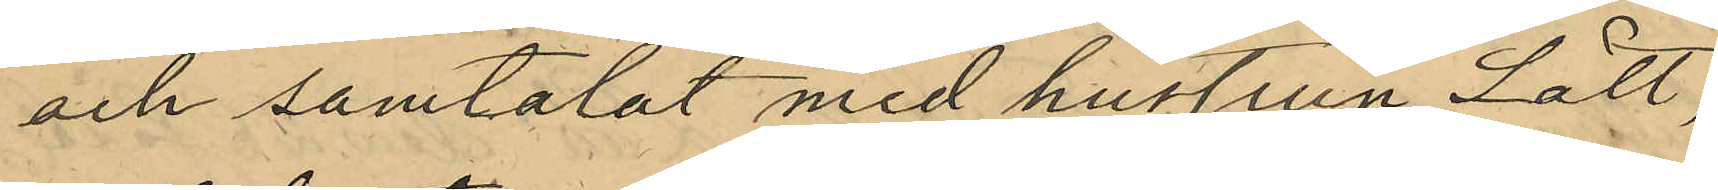och samtalat med hustrun Lätt,
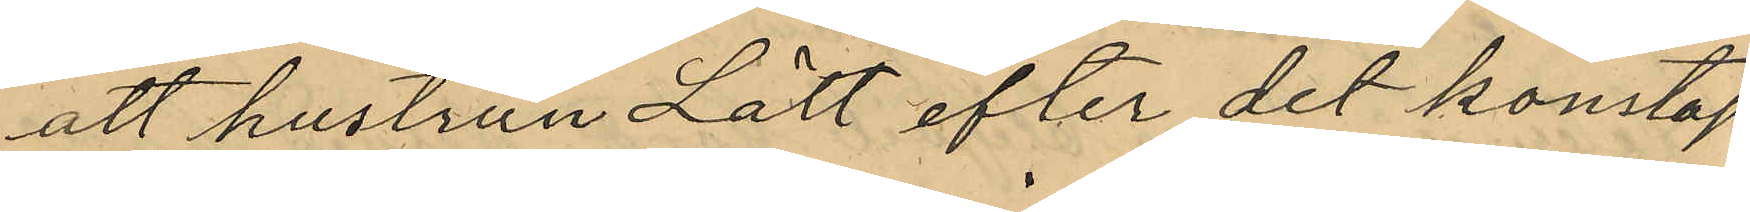att hustrun Lätt efter det konstap¬
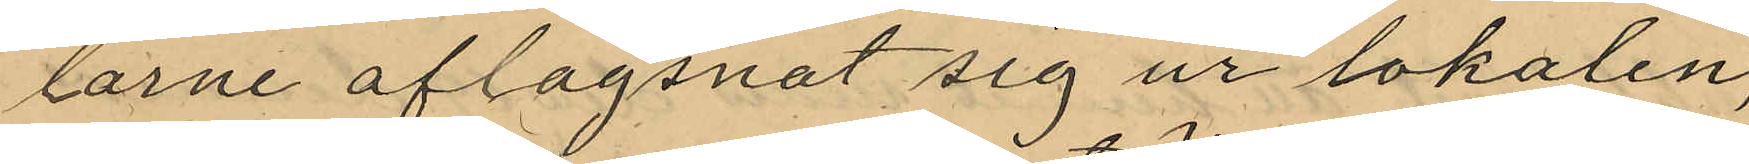larne aflägsnat sig ur lokalen,
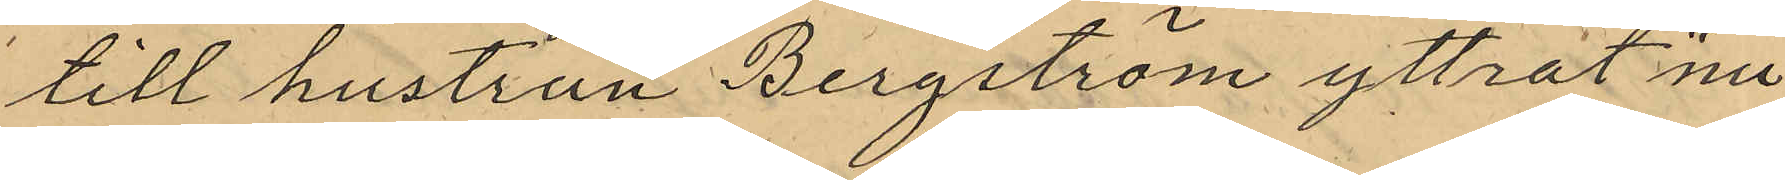till hustrun Bergström yttrat "nu
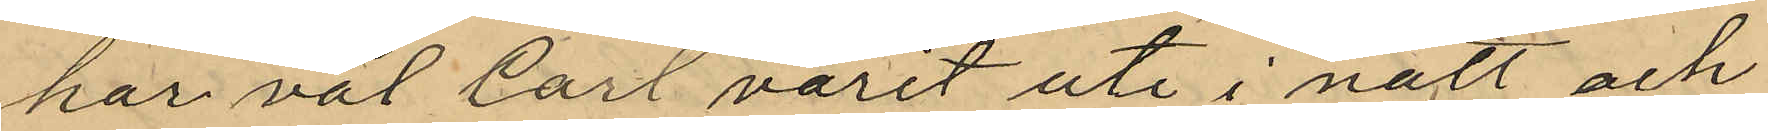har väl Carl varit ute i natt och
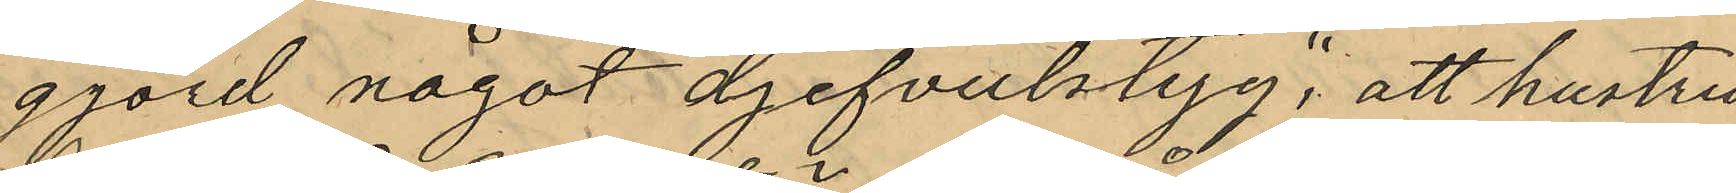gjord något djefvulstyg", att hustru
